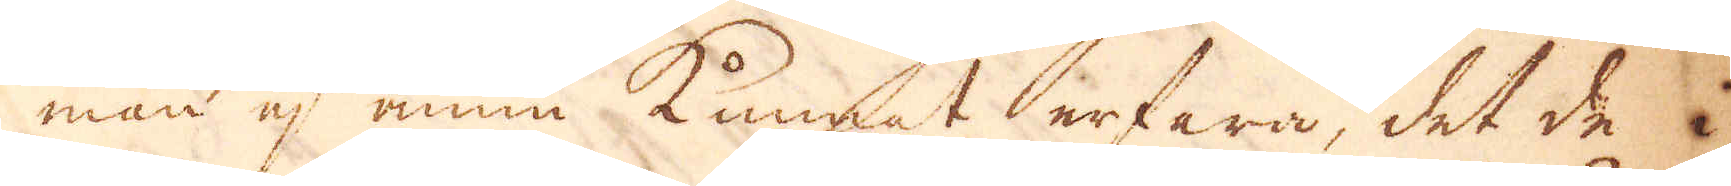man ej ännu kunnat erfara, det de i
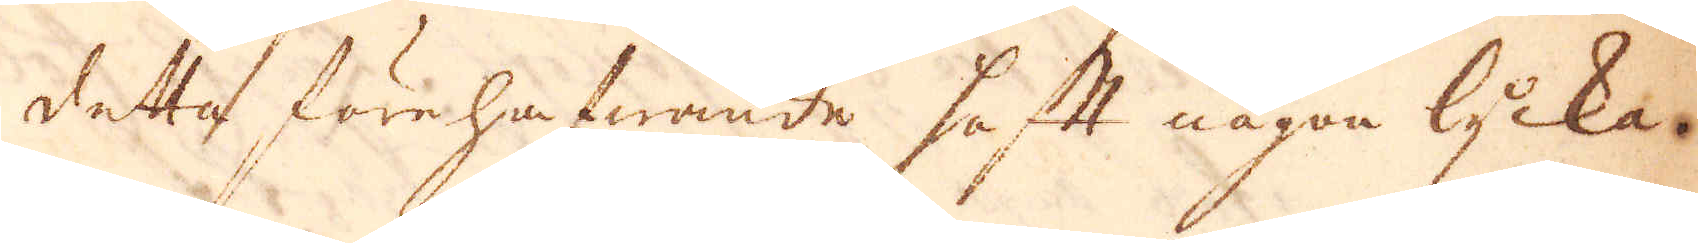detta förehafwende haft någon lycka.
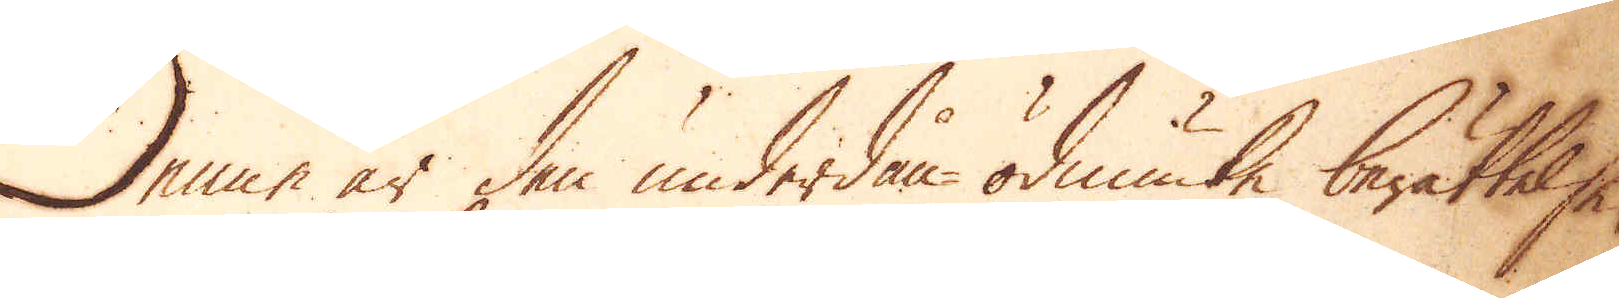Denne är den underdån ödmiuke berättelse
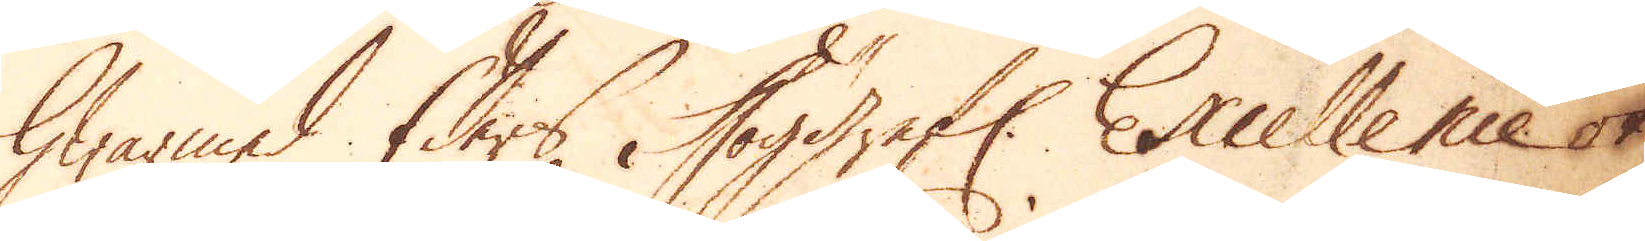hwarmed Eders Höggrefl: Excellence ok
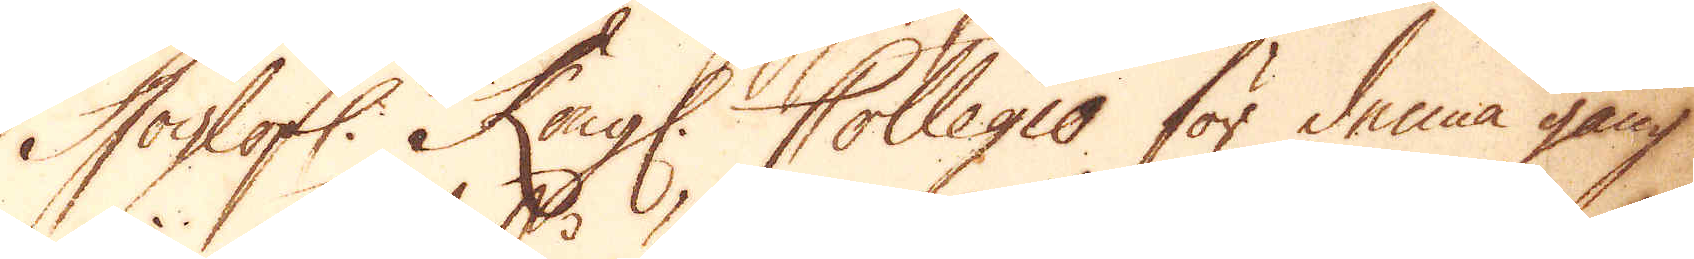Höglofl: Kongl. Collegio för denna gång
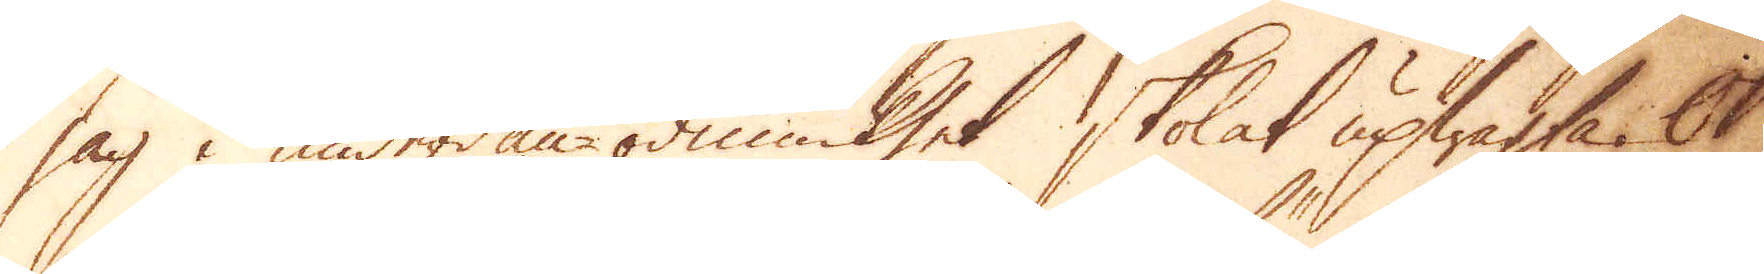jag i underdån-ödmiukhet skolat upwagta. Ok
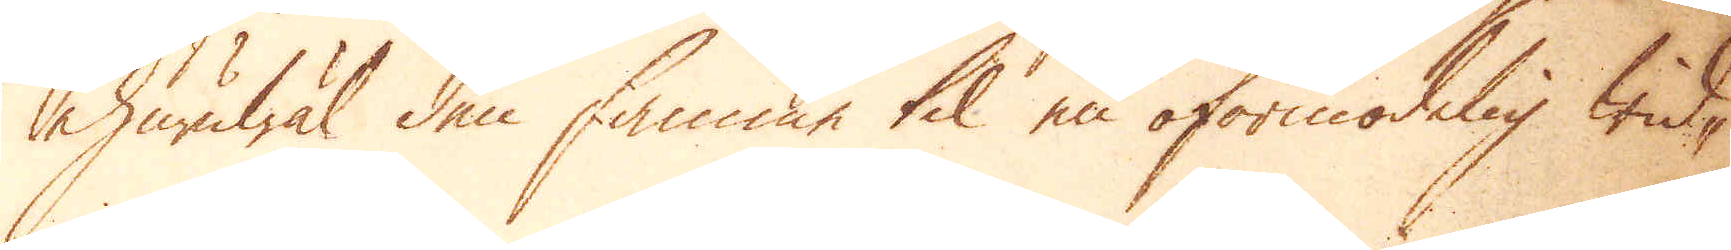ehuruwäl den samme til en oförmodelig wid-
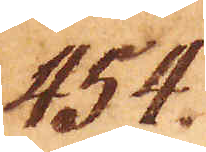454.
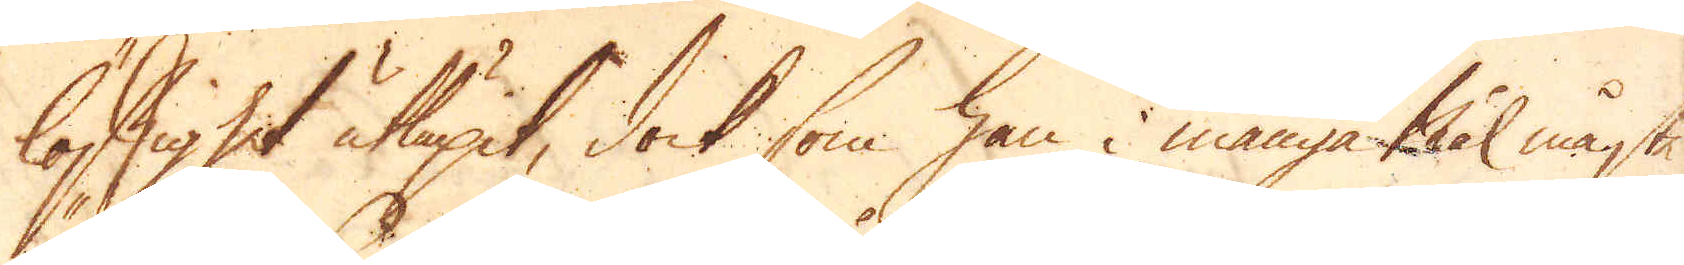löstighet utöpit, dock som han i många Mål måste
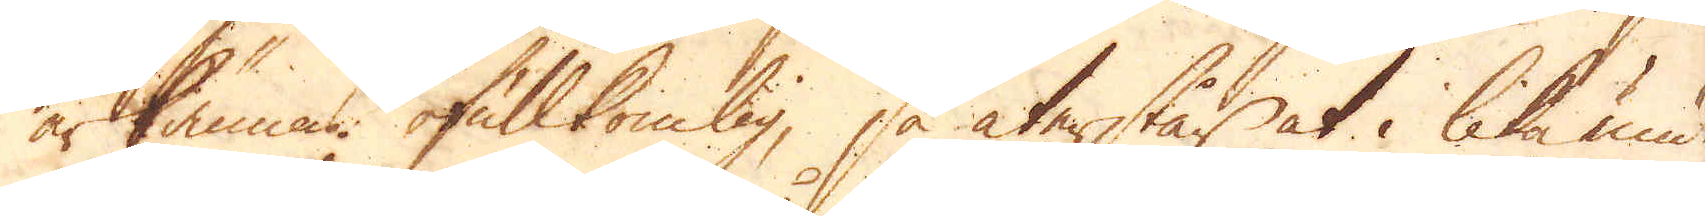ärkännas ofullkomlig, så återstår at i lika under-
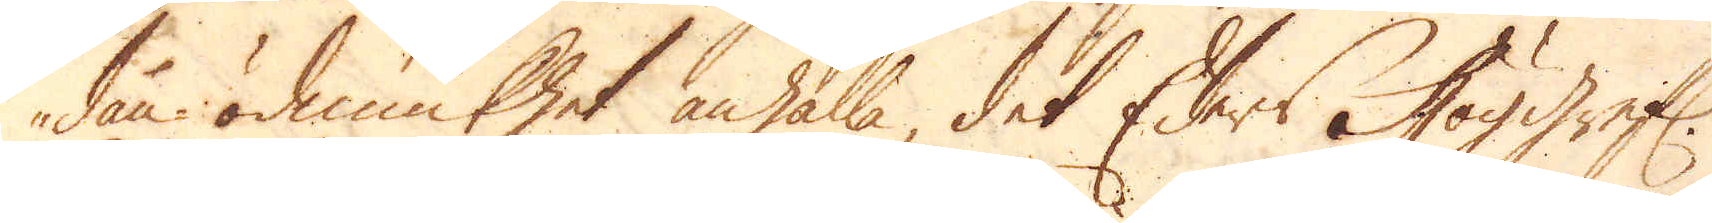dån- ödmiukhet anhålla, det Eders Höggref:
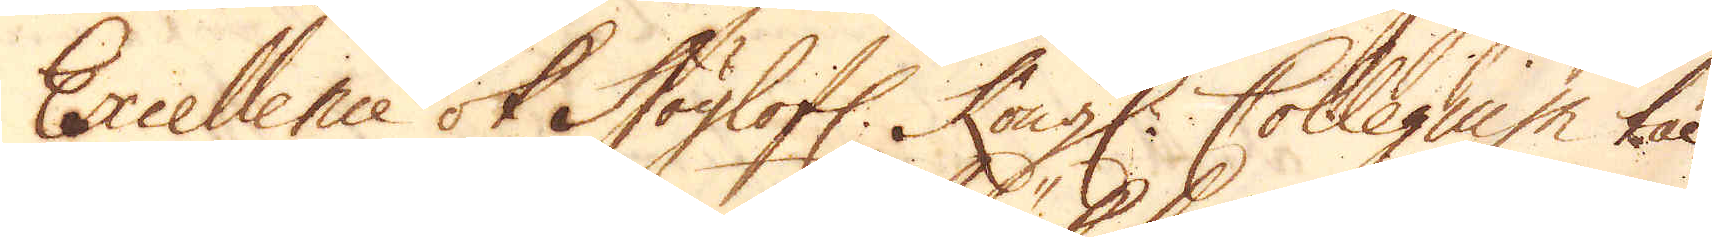Excellence ok Höglofl: Kongl: Collegium tål-
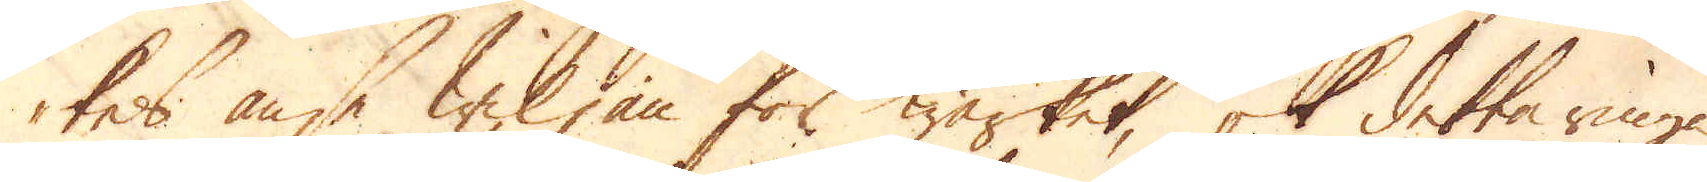tes anse wiljan för Wärket, ok detta ringa
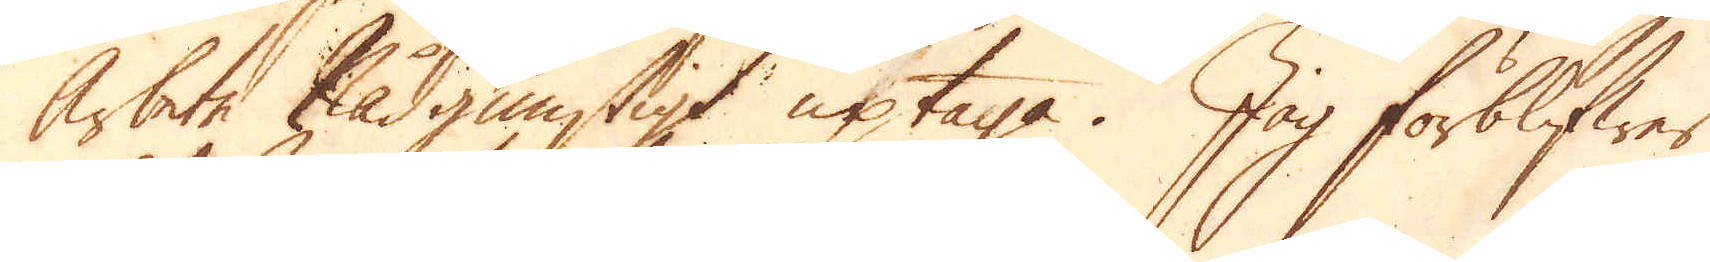Arbete Nådgunstigt uptaga. Jag förblifwer
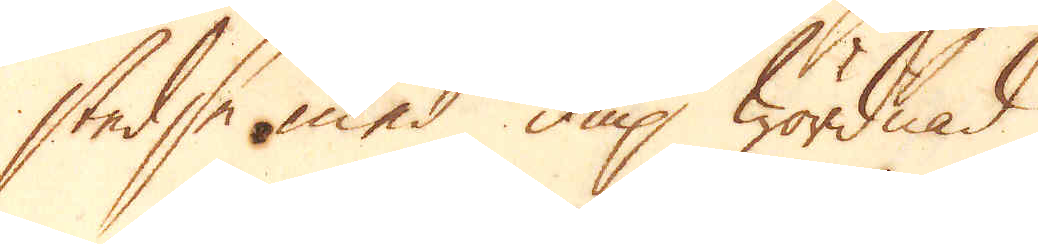stedse med diup wördnad
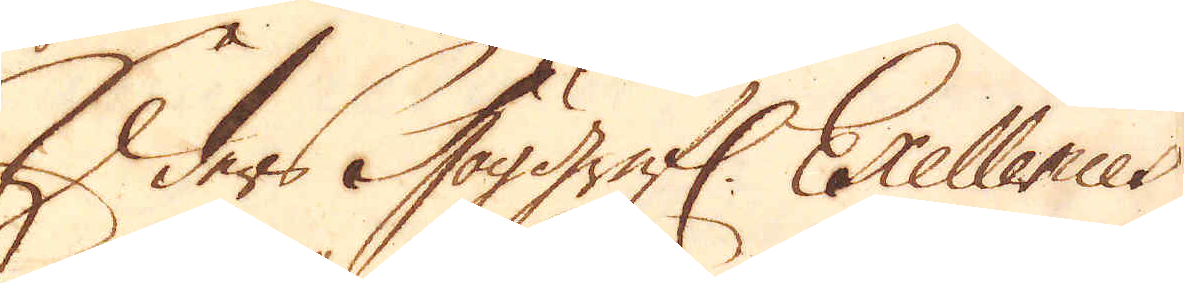Eders Höggrefl: Excellences
